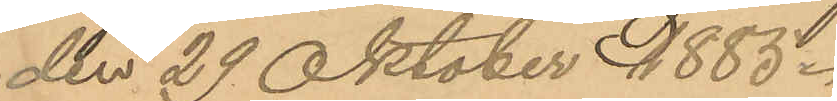den 29 Oktober 1885.
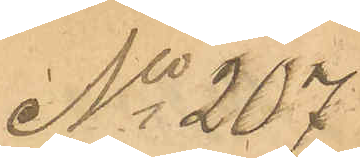No 207
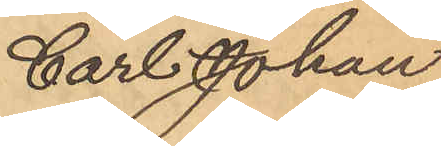Carl Johan
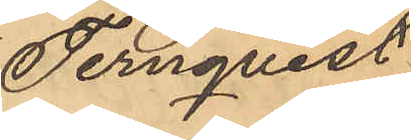Ternqvist
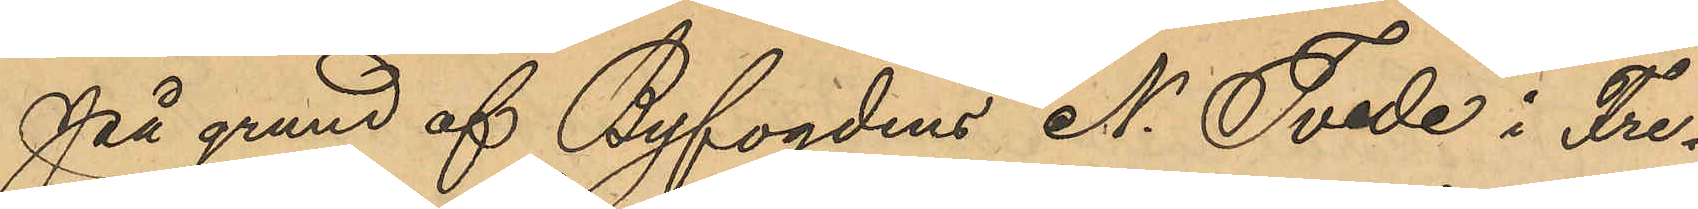På grund af Byfogdens N. Tvede i Fre¬
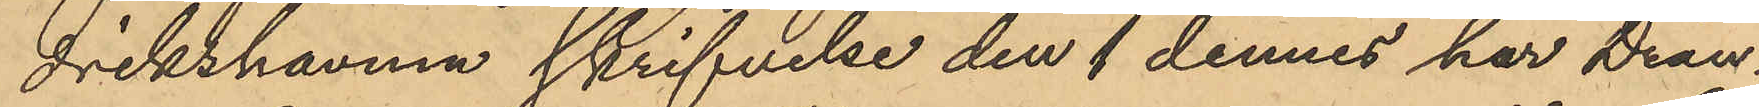drikshavns skrifvelse den 1 dennes har Drän¬
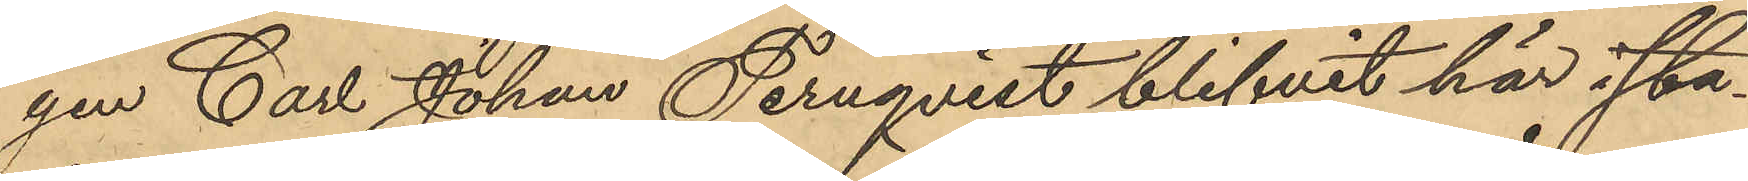gen Carl Johan Ternqvist blifvit här i sta¬
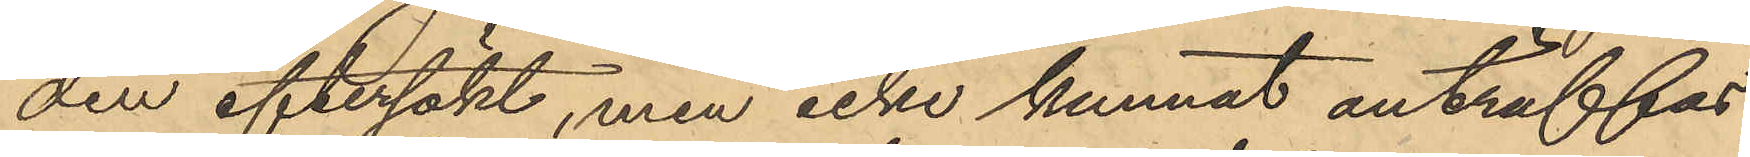den eftersökt, men icke kunnat anträffas
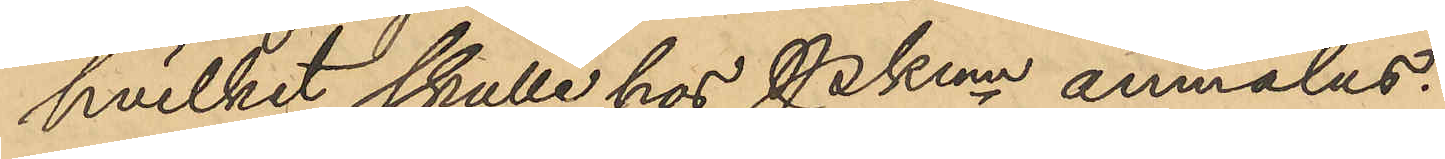hvilket skulle hos Pkmn anmälas:
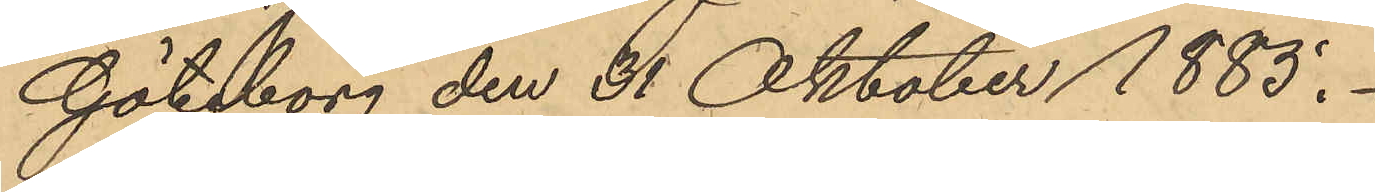Göteborg den 31 Oktober 1885.
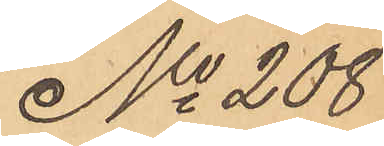No 208
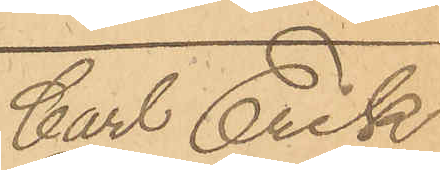Carl Erik
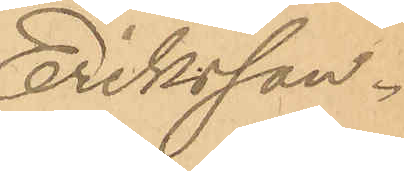Eriksson.
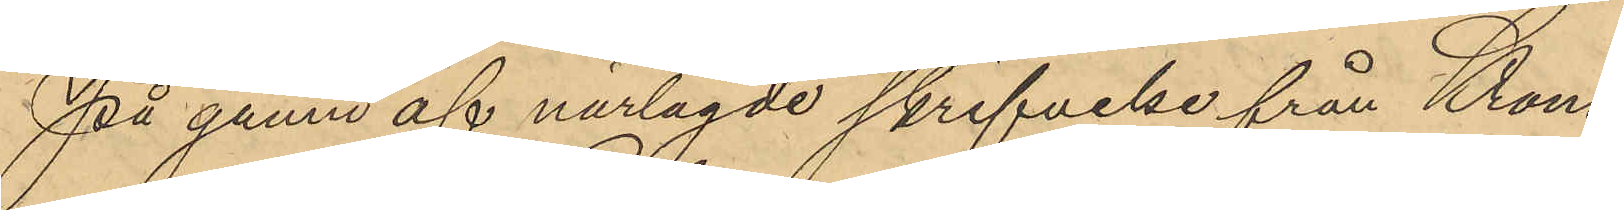På grund af närlagde skrifvelse från Krono¬
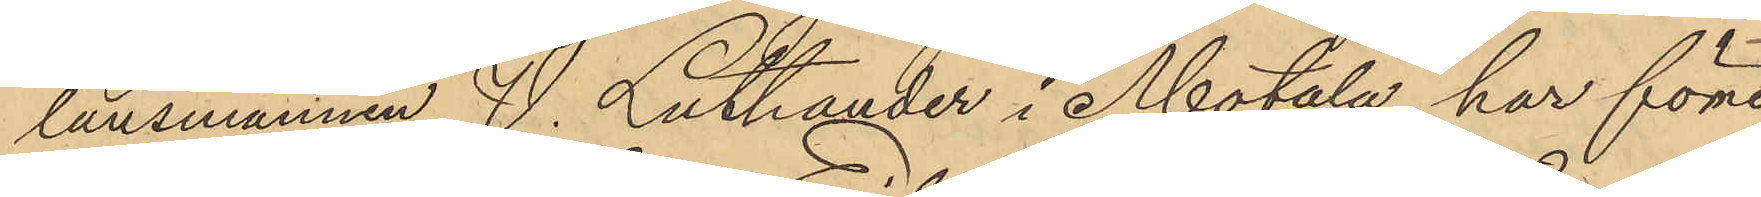länsmannen V. Luthander i Motala har förre
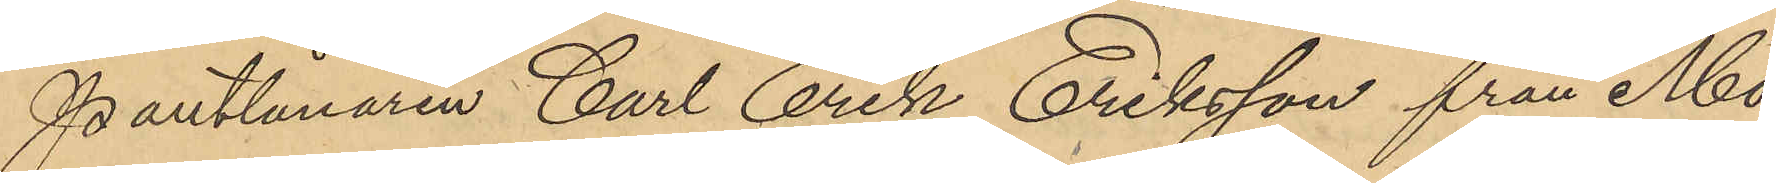Pantlånaren Carl Erik Eriksson från Mo¬
